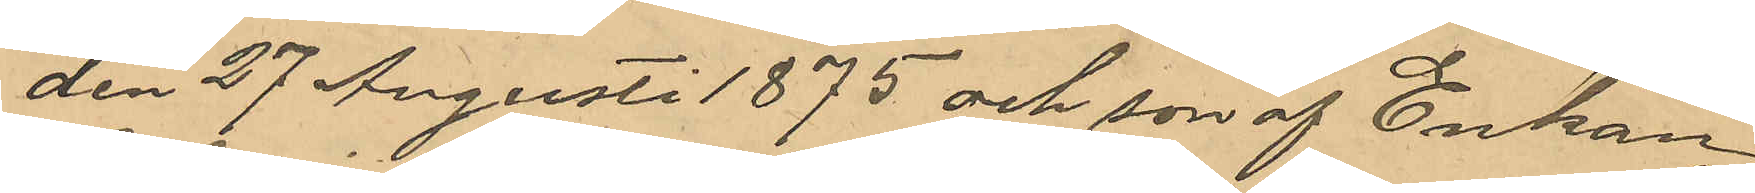den 27 Augusti 1875 och son af Enkan
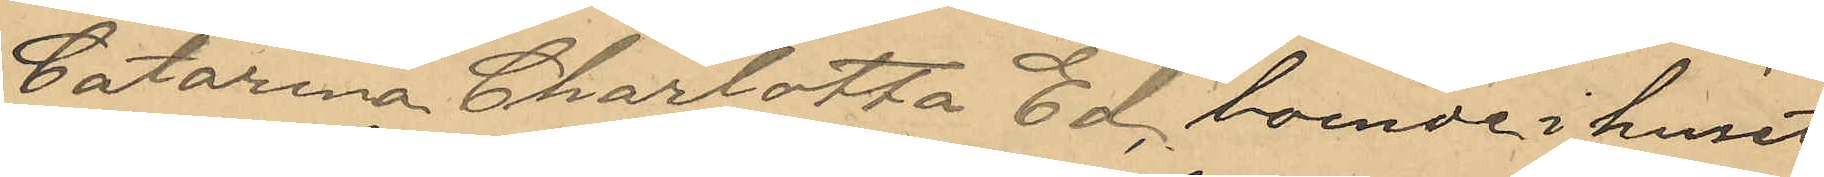Catarina Charlotta Ed, boende i huset
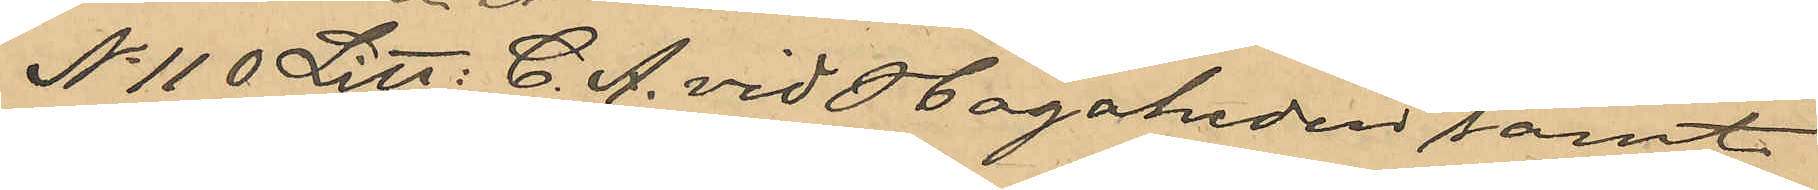No 110 Litt: C. A. vid Hagaheden samt
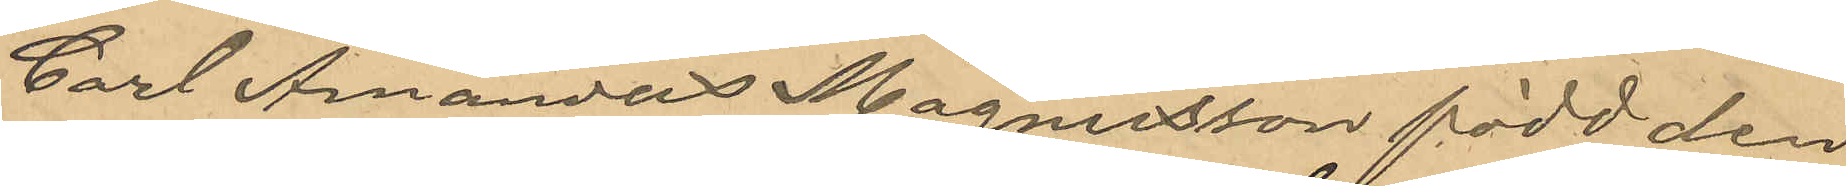Carl Amandus Magnusson, född den
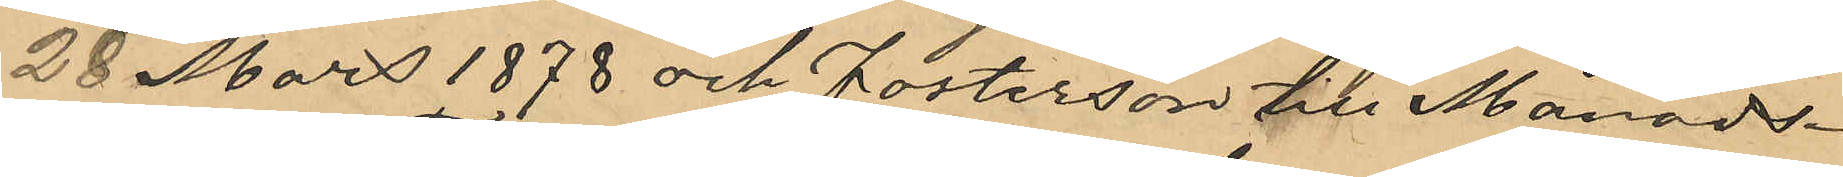28 Mars 1878 och fosterson till Månads¬
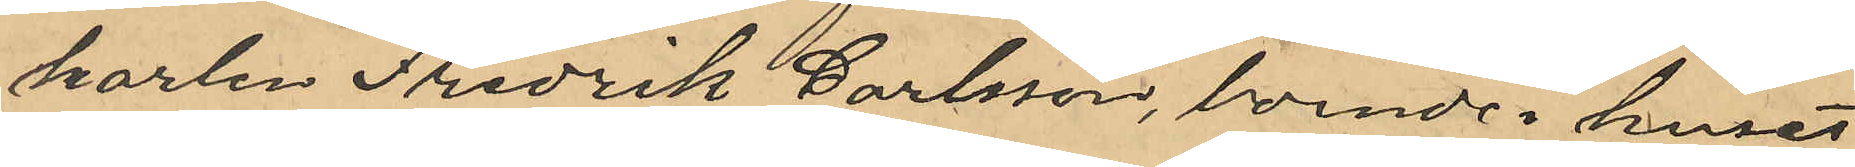karlen Fredrik Carlsson, boende i huset
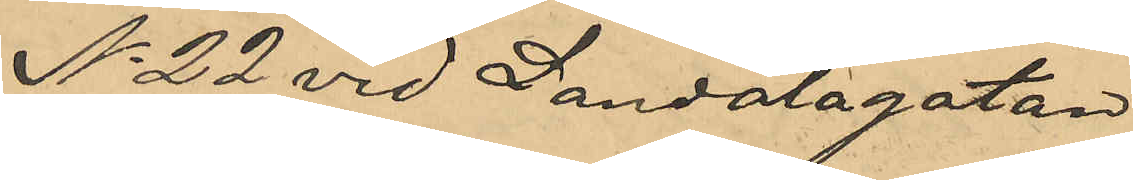No 22 vid Landalagatan.
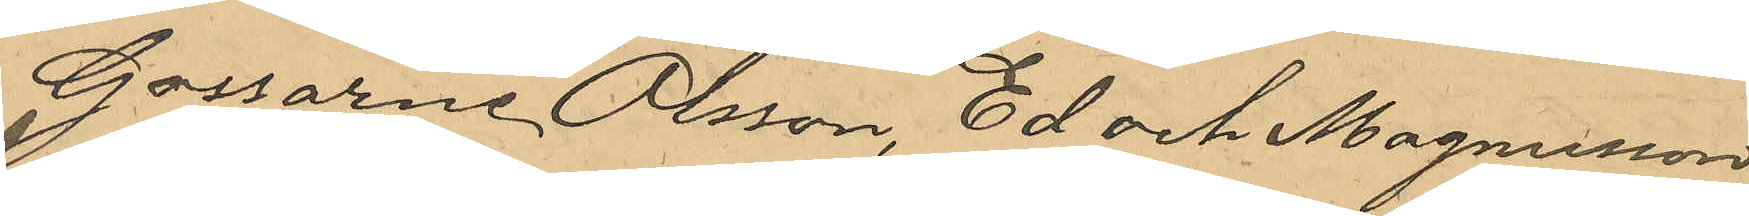Gossarne Olsson, Ed och Magnusson
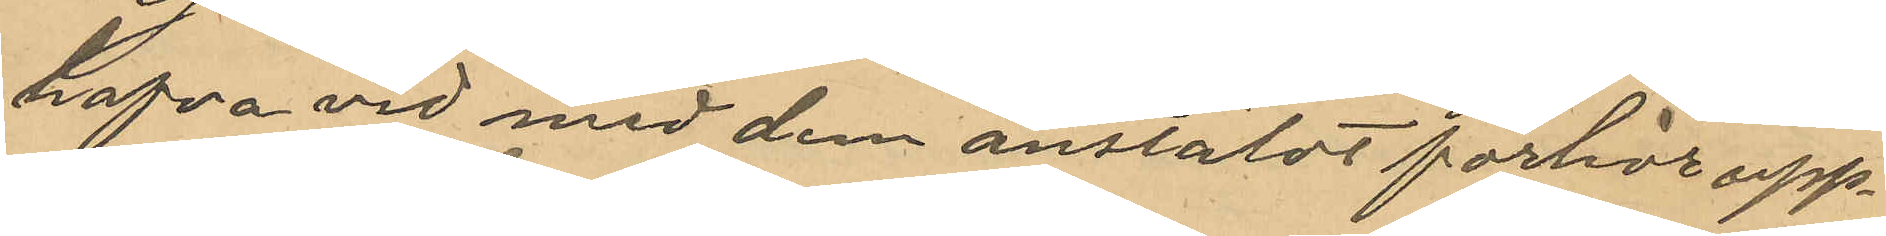hafva vid med dem anstäldt förhör upp¬
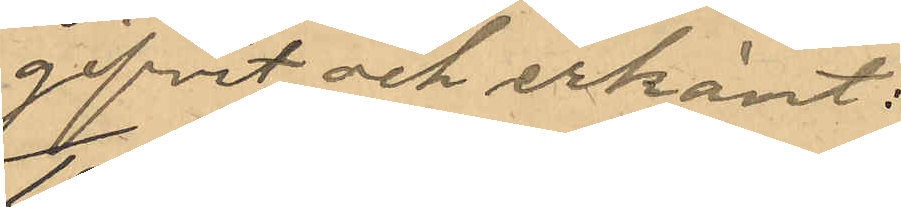gifvit och erkänt:
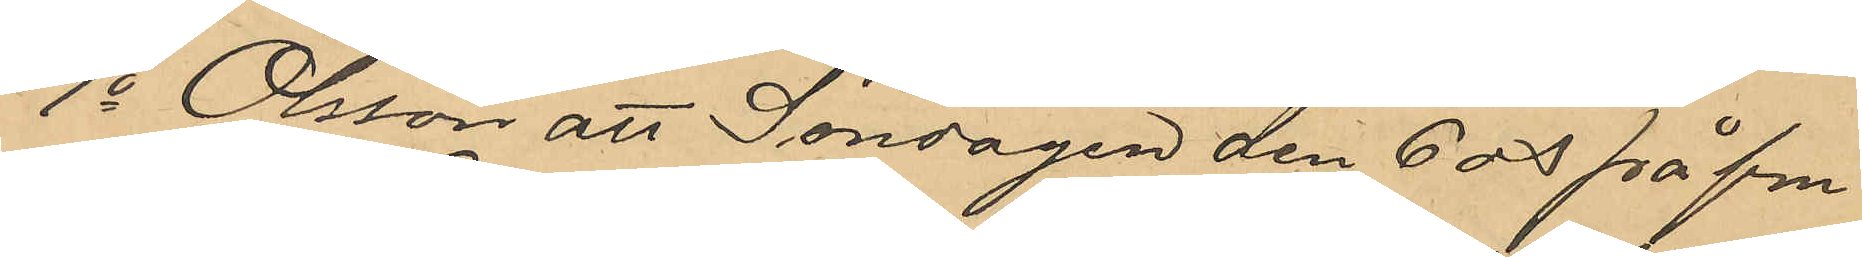1o Olsson att Söndagen den 6 ds på fm
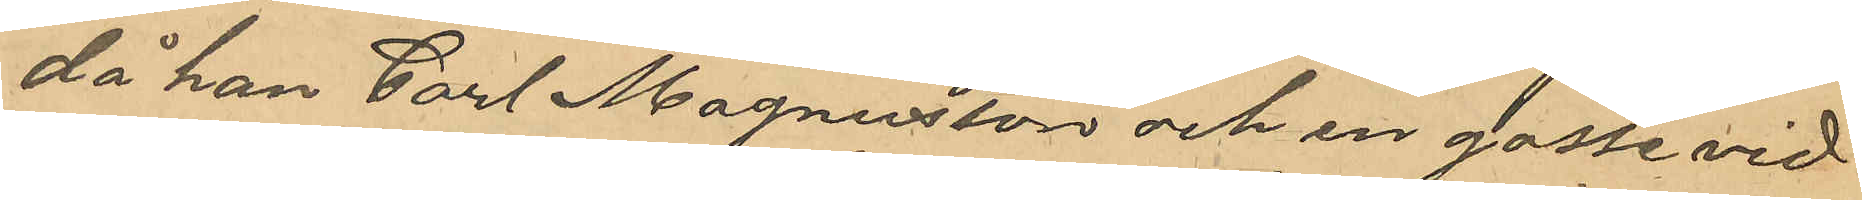då han Carl Magnusson och en gosse vid 
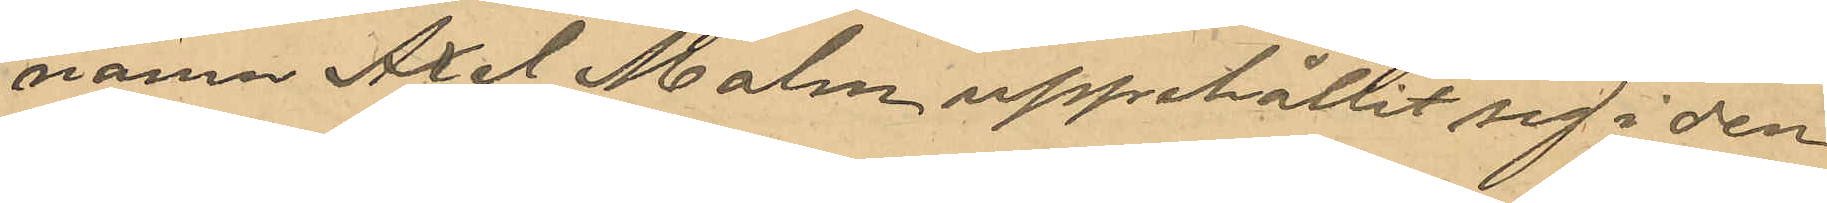namn Axel Malm uppehållit sig i den
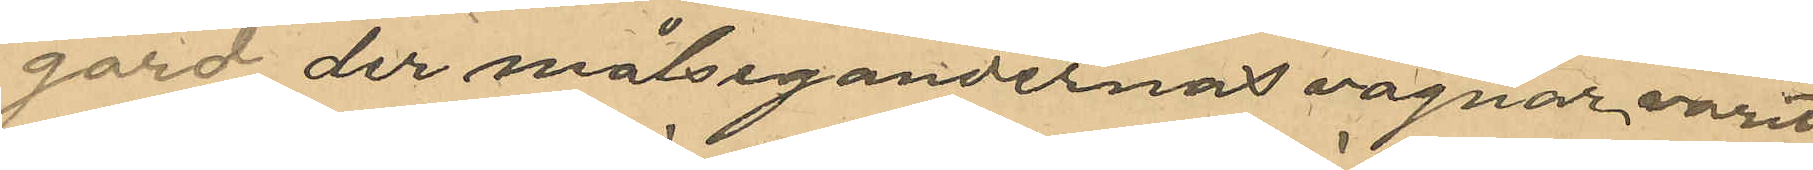gård der målsegandernas vagnar varit
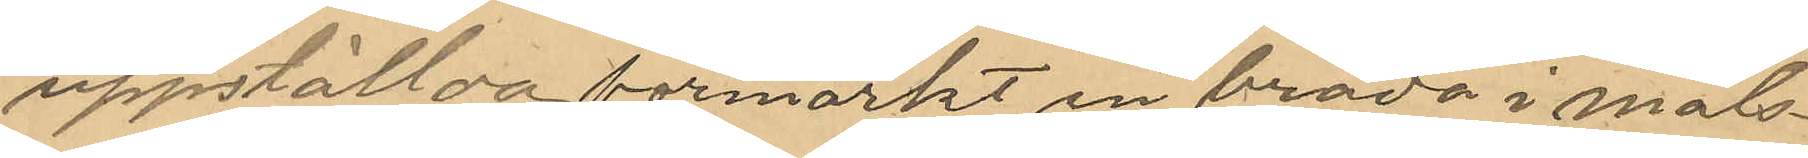uppställda förmärkt en bräda i måls¬
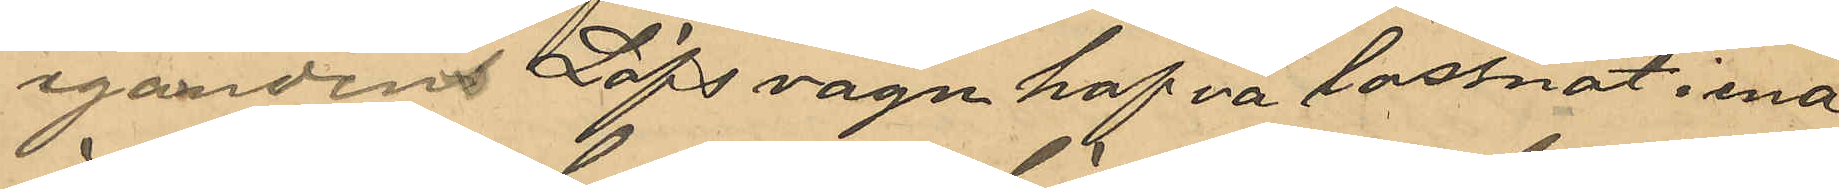eganden Löfs vagn hafva lossnat i ena
